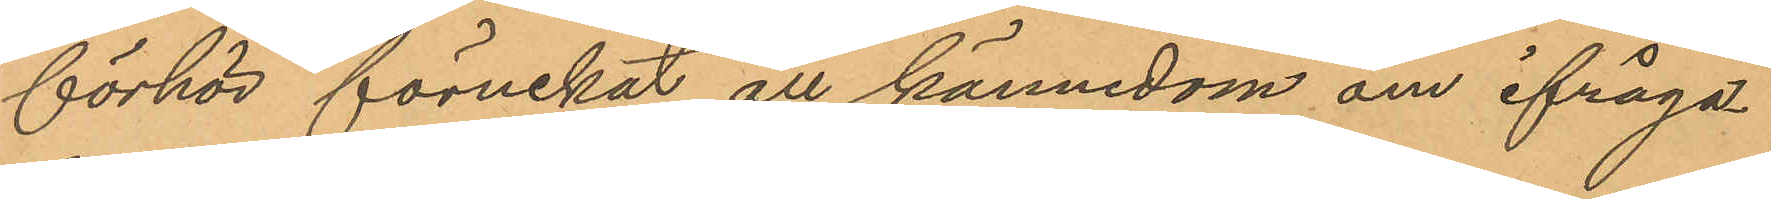förhör förnekat all kännedom om ifråga¬
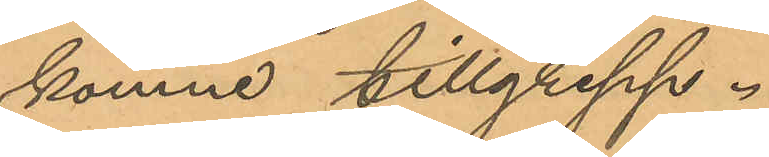komne tillgrepp.
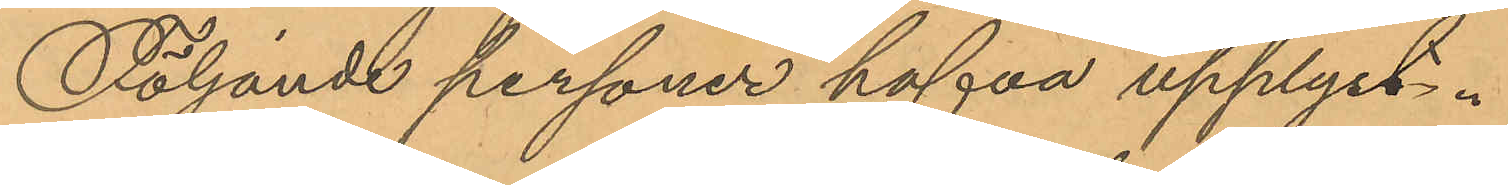Följande personer hafva upplyst:
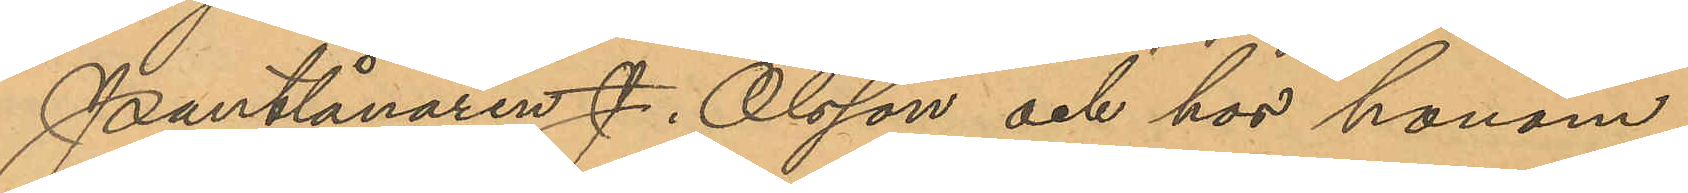Pantlånaren J. Olsson och hos honom
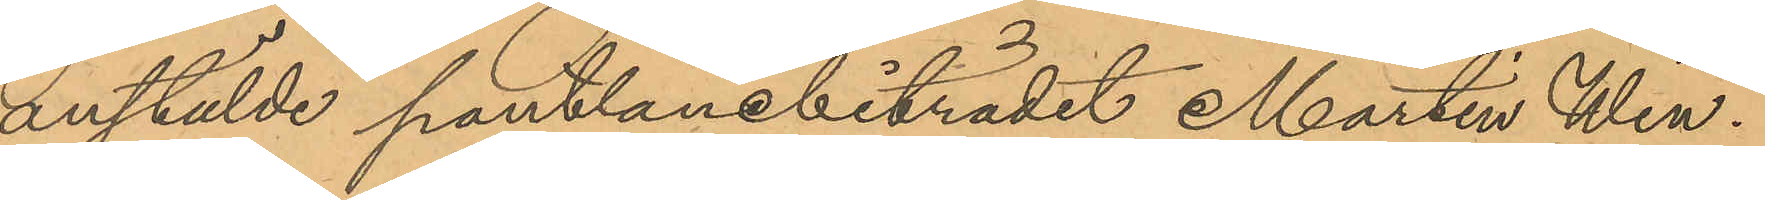anstälde pantlånebiträdet Martin Win¬
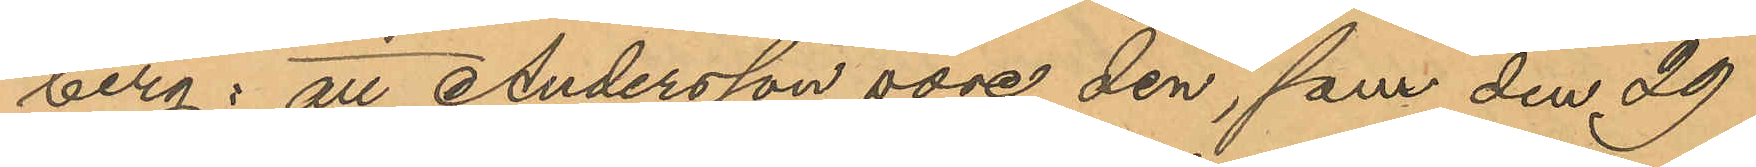berg: att Andersson vore den, som den 29
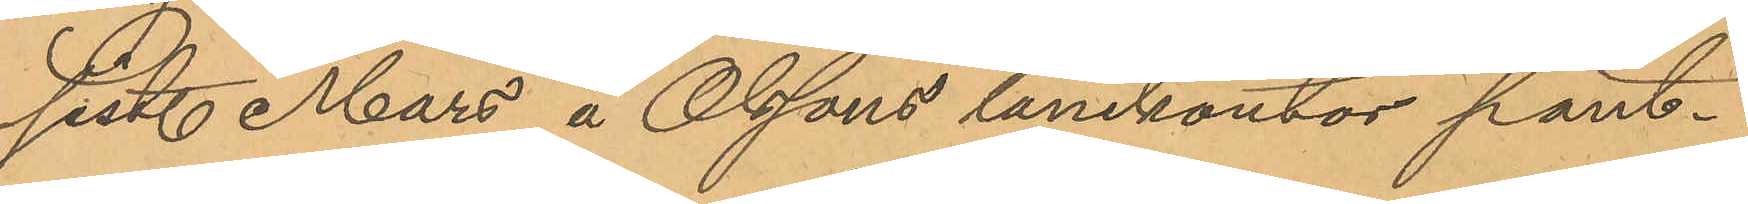sist Mars å Olssons lånekontor pant¬
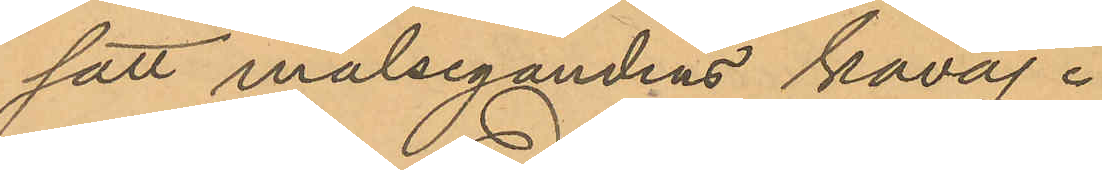satt målsegandens kavaj.
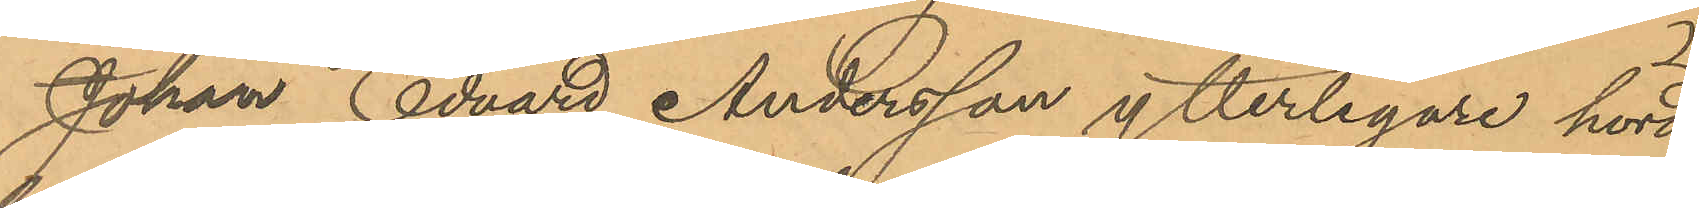Johan Edvard Andersson ytterligare hörd
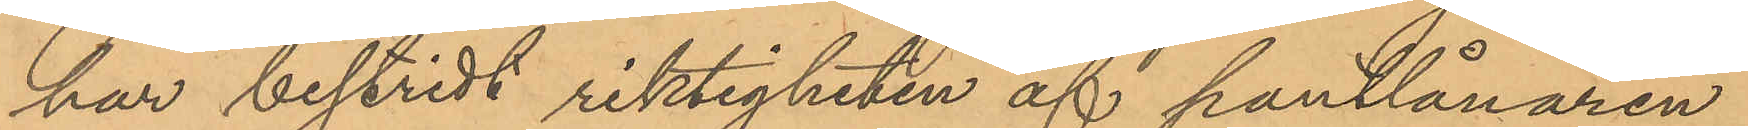har bestridt riktigheten af pantlånaren
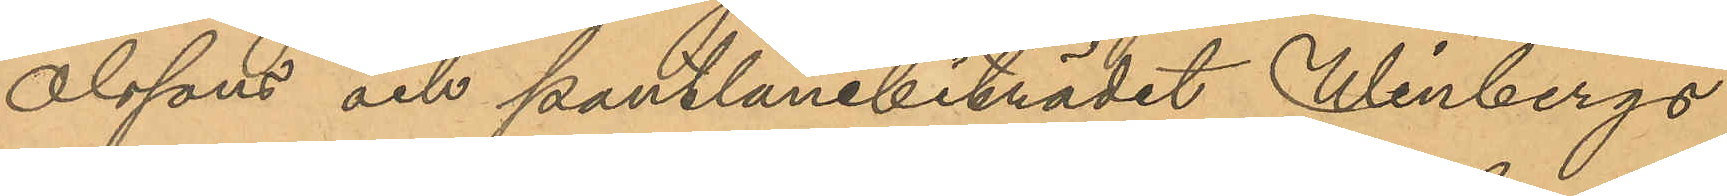Olssons och pantlånebiträdet Winbergs
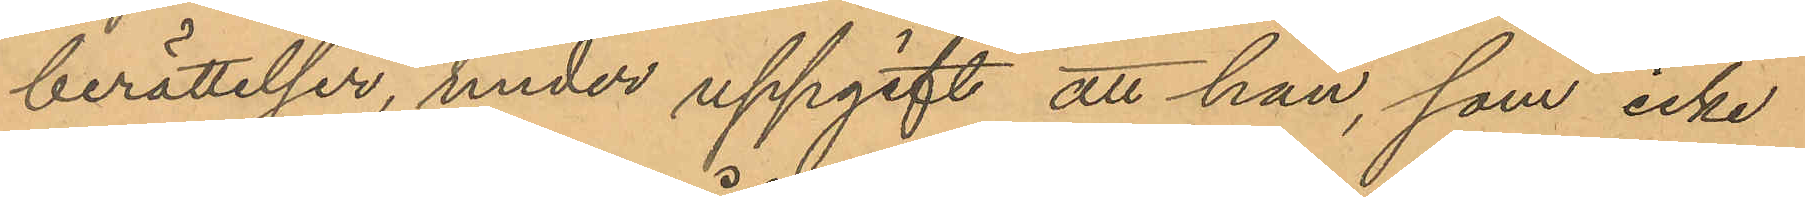berättelser, under uppgift att han, som icke
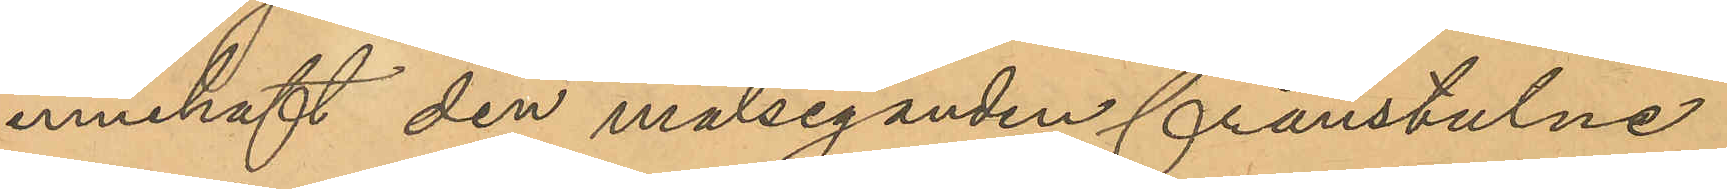innehaft den målseganden frånstulne
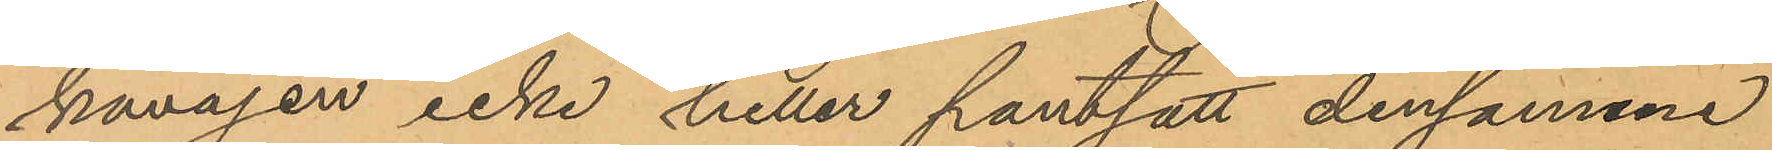kavajen icke heller pantsatt densamme
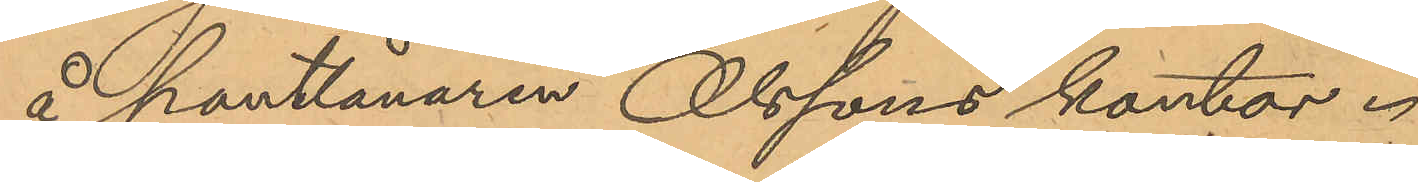å pantlånaren Olssons kontor.
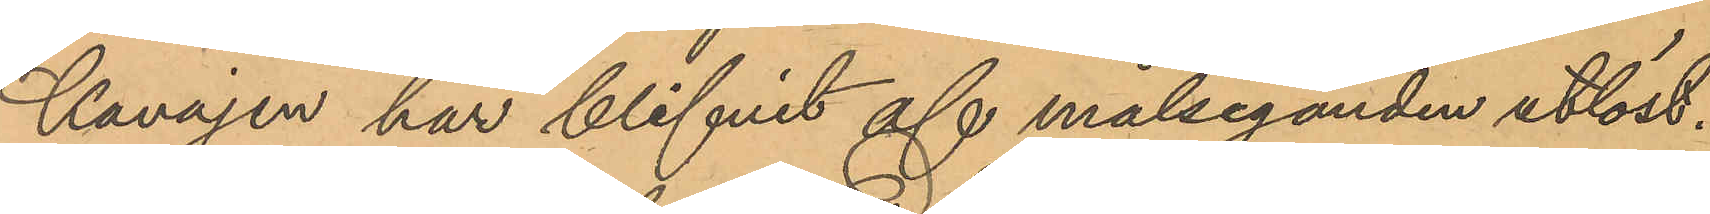Kavajen har blifvit af målseganden utlöst.
